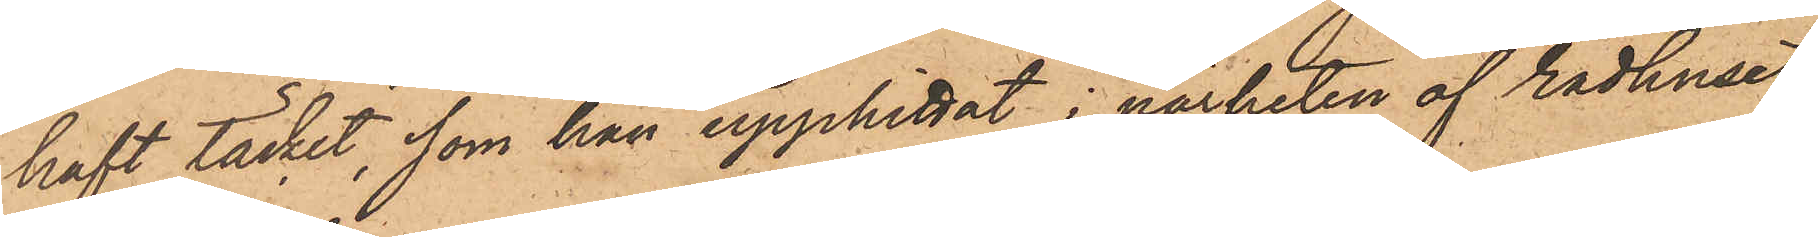haft täcket, som han upphittat i närheten af Rådhuset,
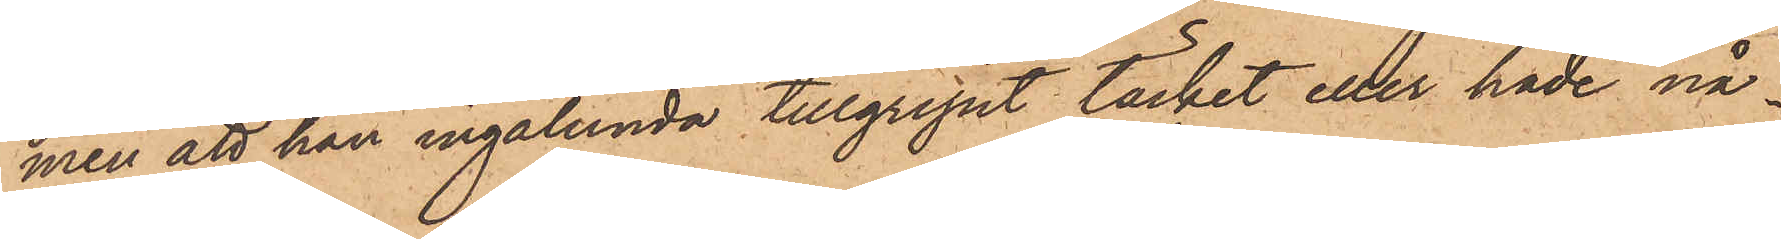men att han ingalunda tillgripit täcket eller hade nå¬
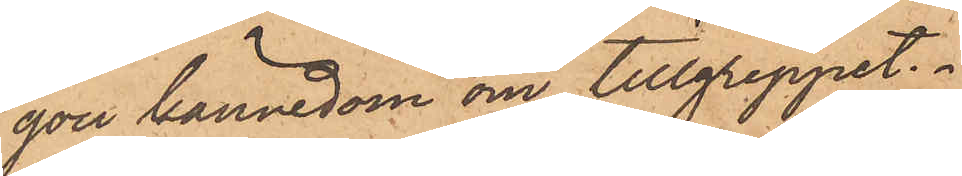gon kännedom om tillgreppet.
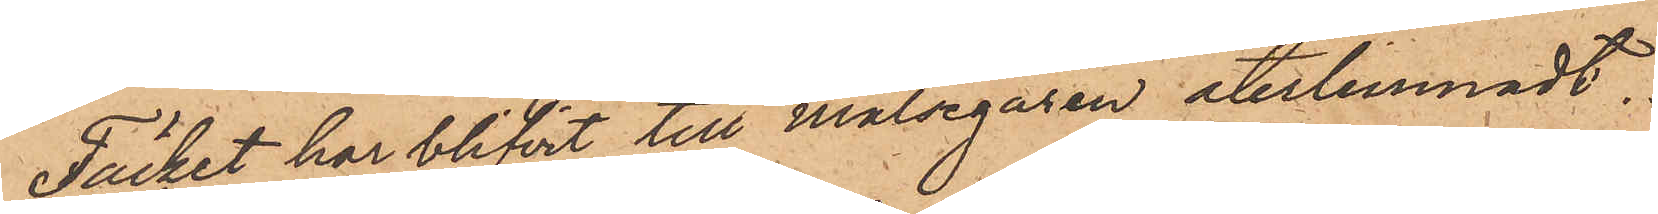Täcket har blifvit till målsegaren återlemnadt.
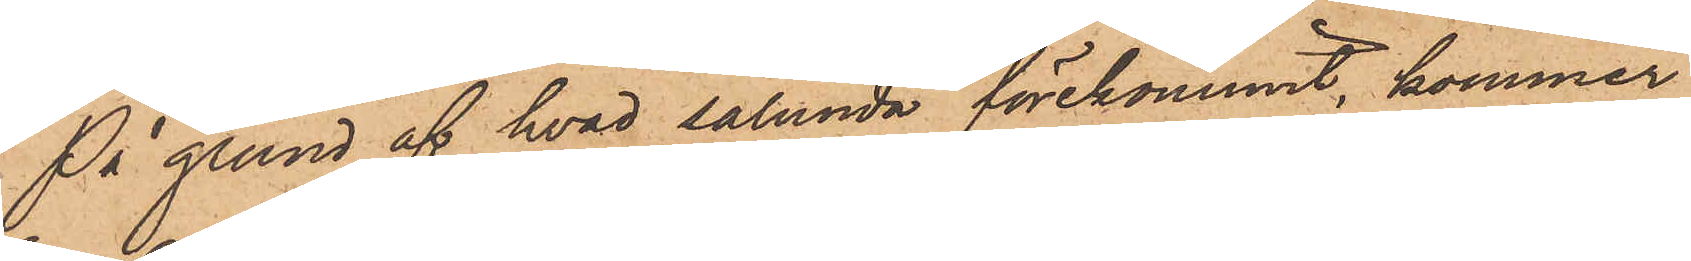På grund af hvad sålunda förekommit, kommer
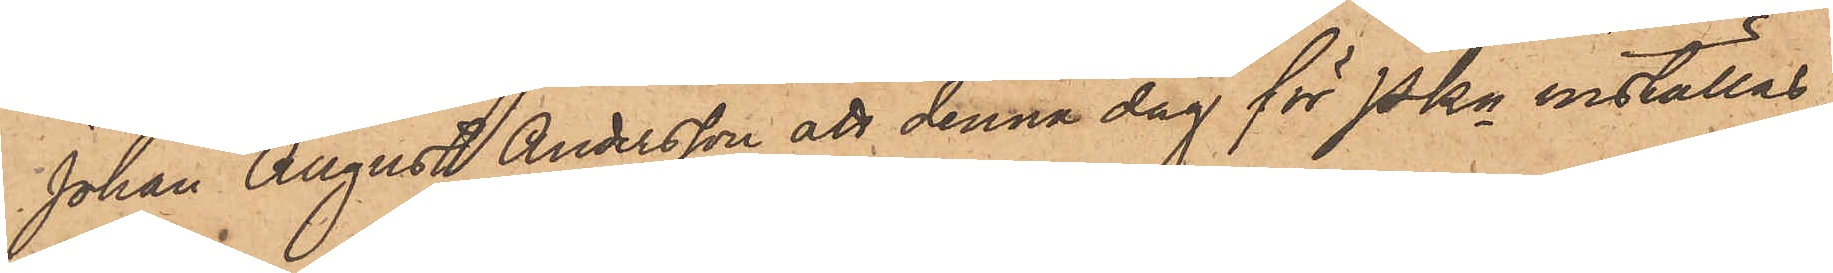Johan August Andersson att denna dag för Pkn inställas.
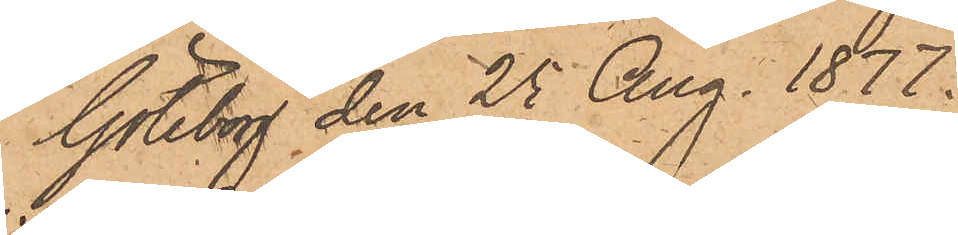Göteborg den 25 Aug. 1877.
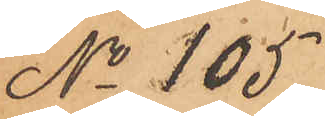No 105.
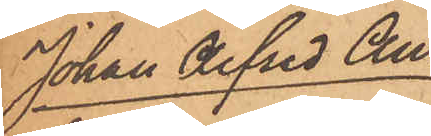Johan Alfred An¬
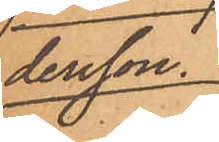dersson.
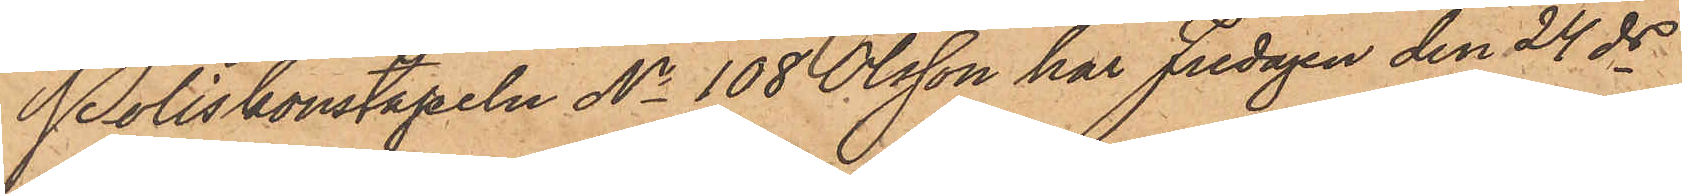Poliskonstapeln No 108 Olsson har Fredagen den 24 ds
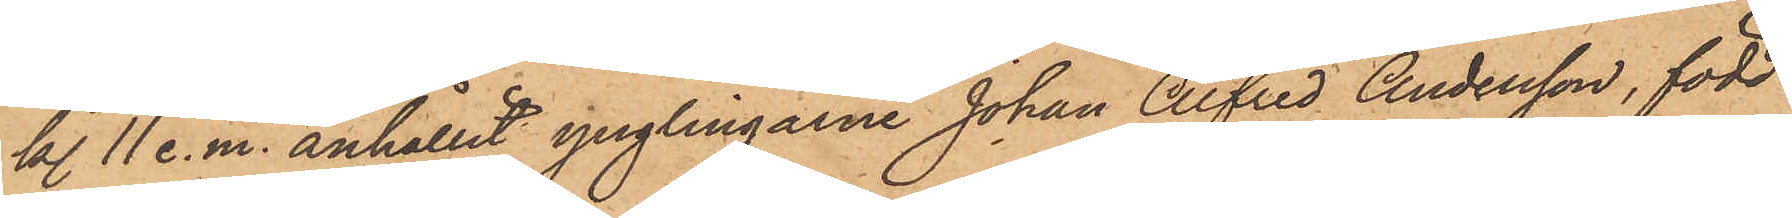kl. 11 e. m. anhållit ynglingarne Johan Alfred Andersson, född
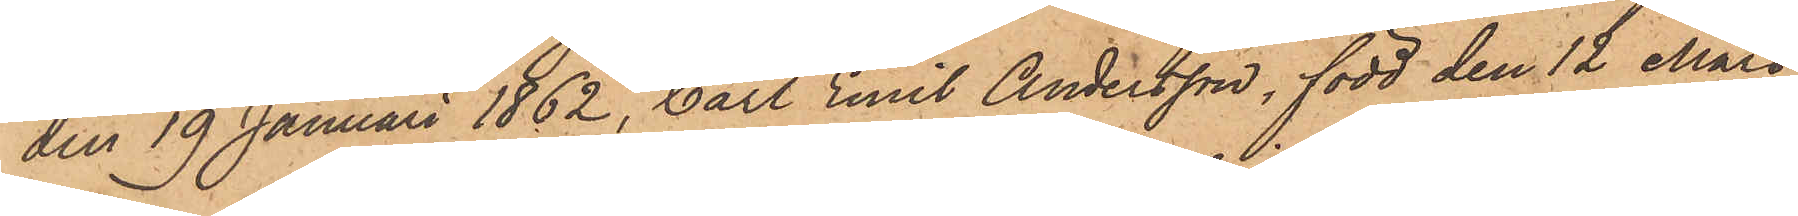den 19 Januari 1862, Carl Emil Andersson, född den 12 Mars
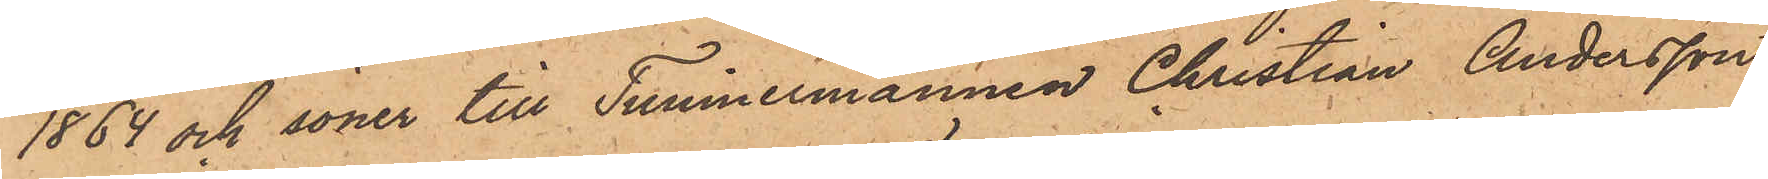1864 och söner till Timmermannen Christian Andersson
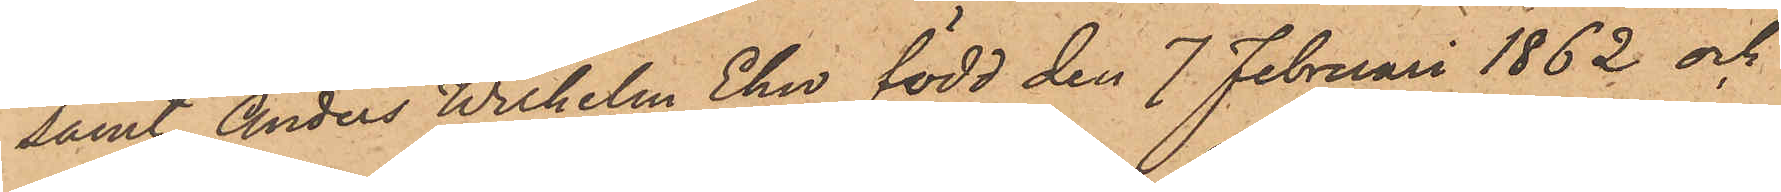samt Anders Wilhelm Ehn, född den 7 Februari 1862 och
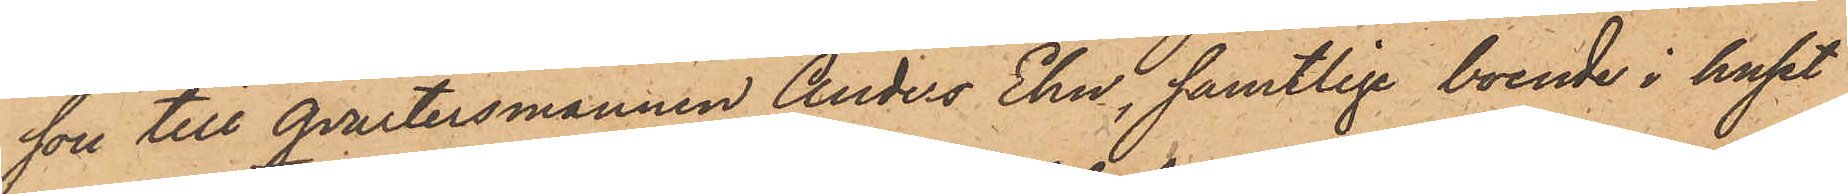son till Qvartersmannen Anders Ehn, samtlige boende i huset
